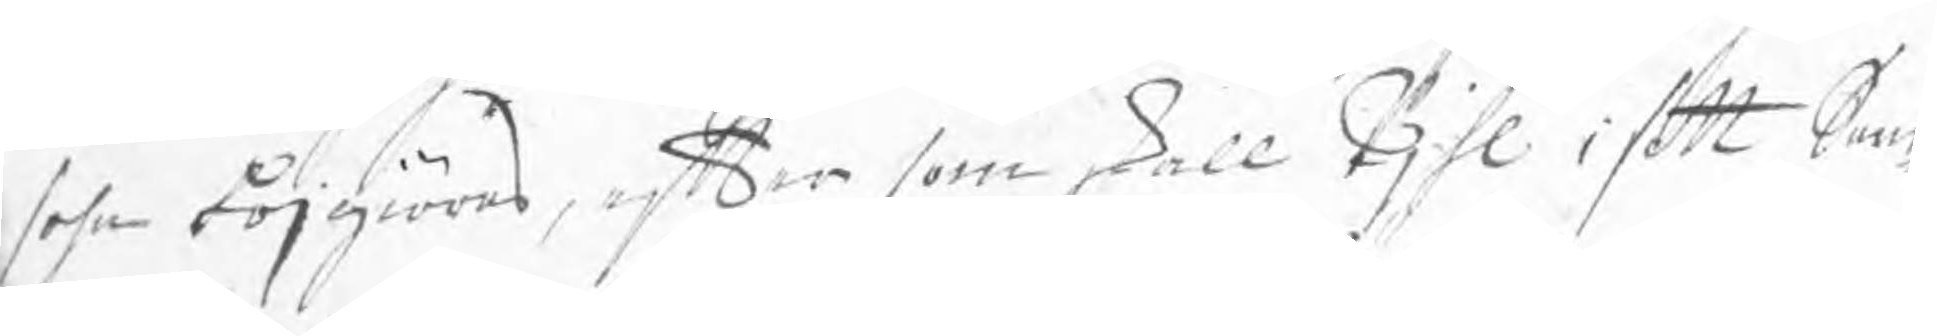sohn böjgiöras, efter som skall Pjhl i sitt Sam¬
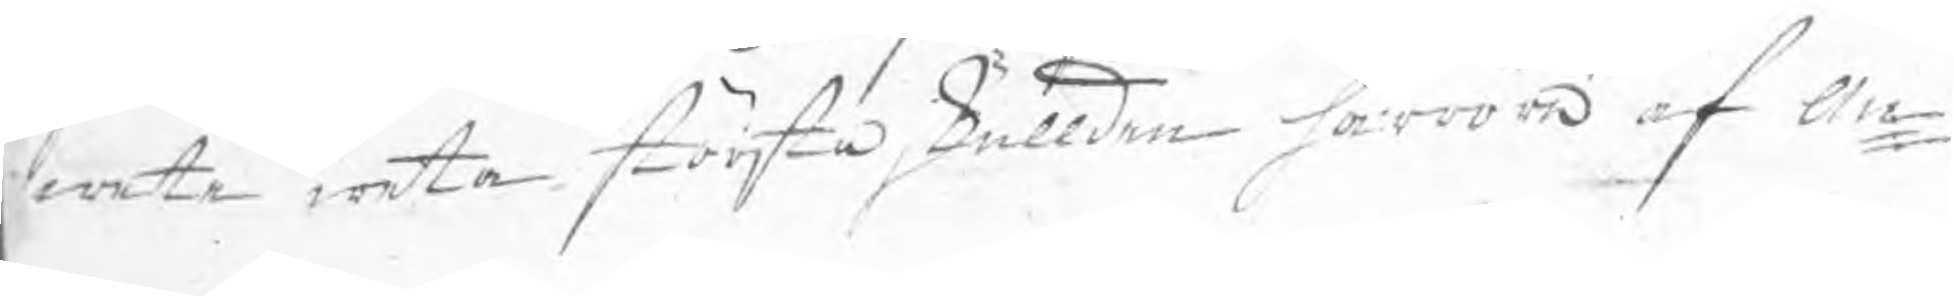wete weta största skullden härröra af An¬
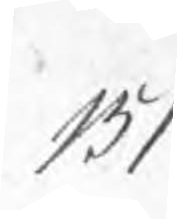151
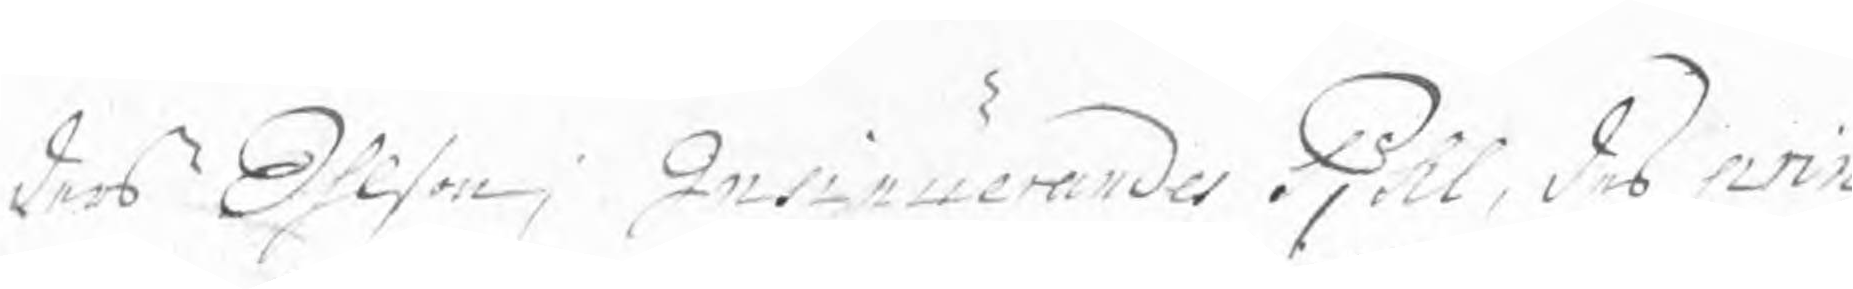ders Ohlson; Insinuerades Pjhl, des prin¬
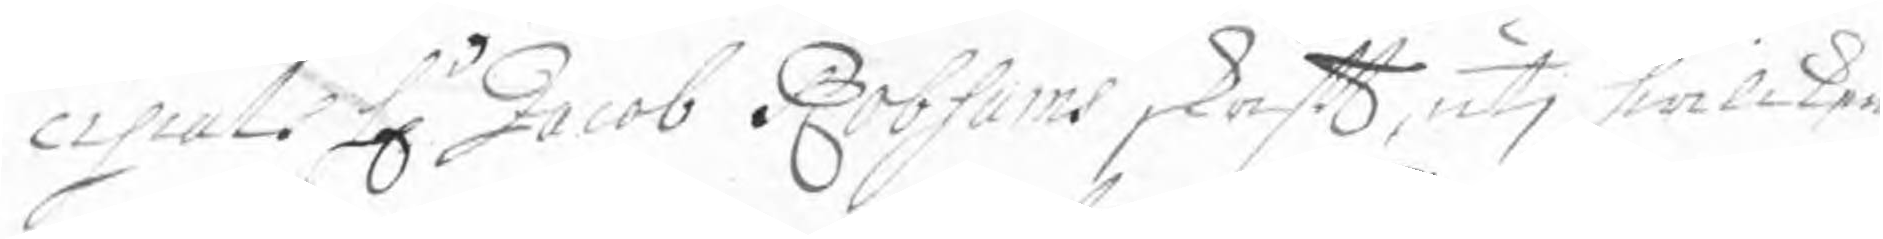cipal Hr Jacob Robsams skrift, utj hwilken
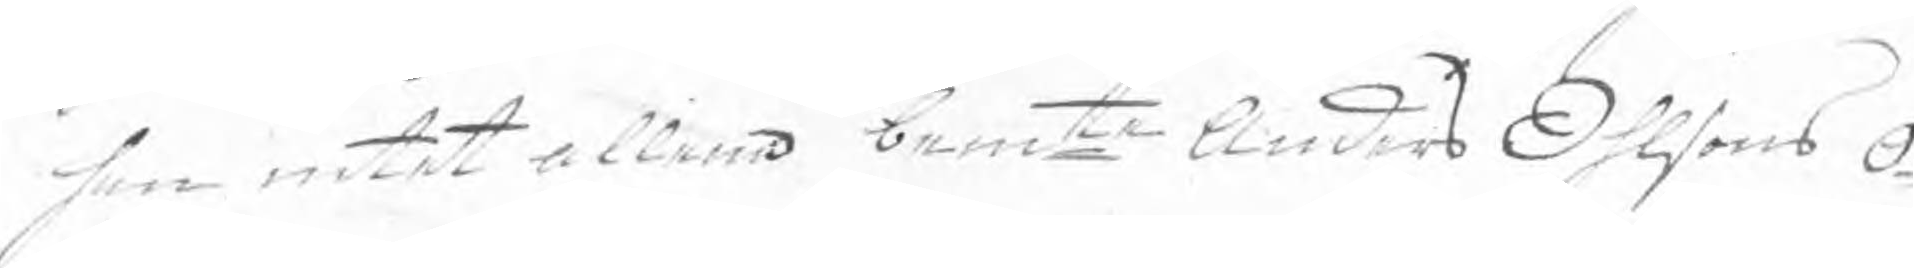han intet allena bemte Anders Ohlsons o¬
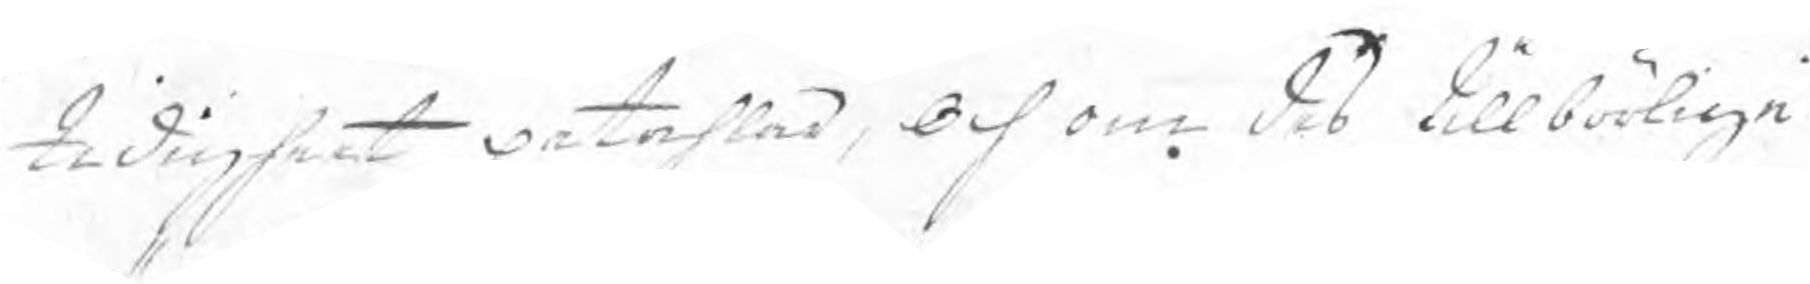tidigheet påtahlar, Och om des tillbörliga
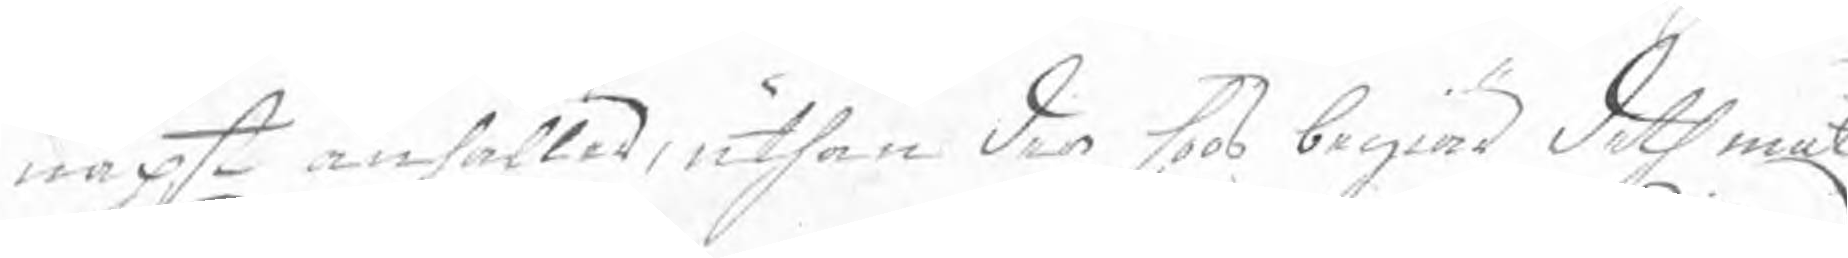näpst anhåller, uthan der hoos begiär deth måt
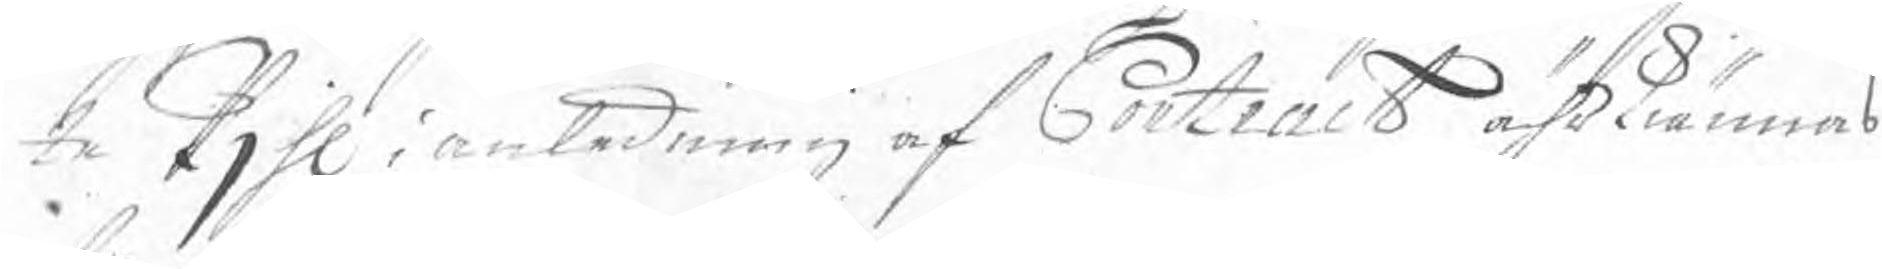te Pjhl i anledning af Contract ährkiännas
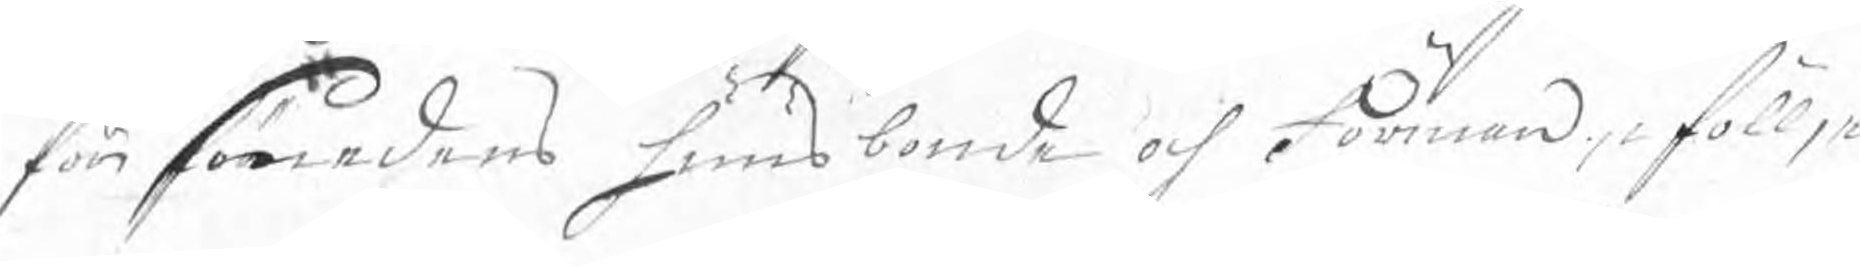för smedens huusbonde och Förman, i föllje
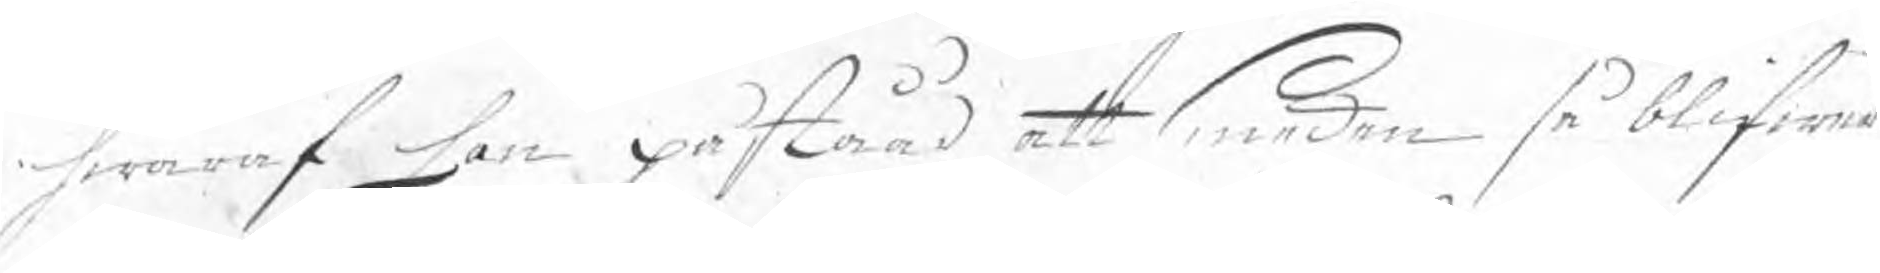hwaraf han påståår att smeden så blifwer
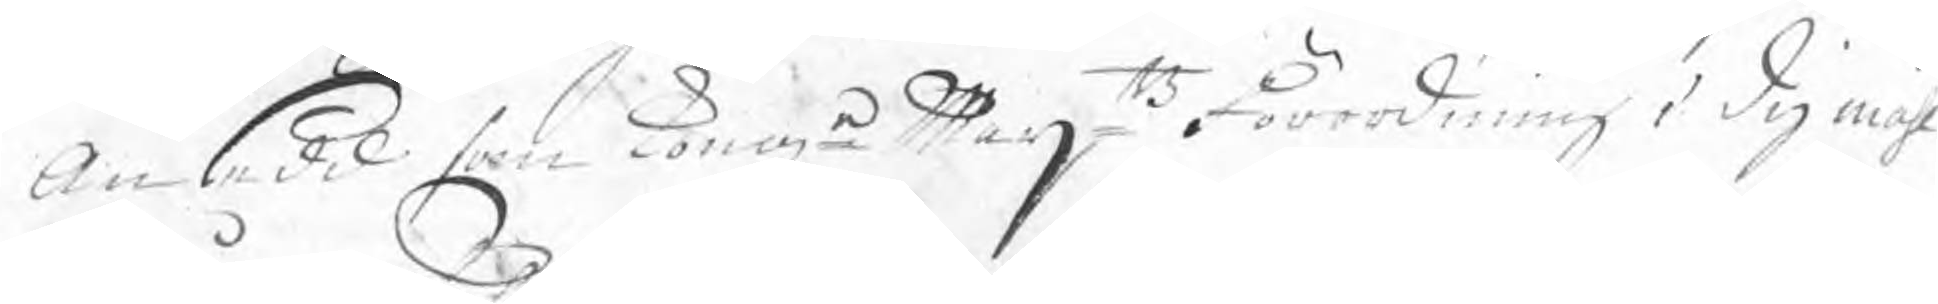ansedd som Kong Maijtz Förordning i dy måhl 
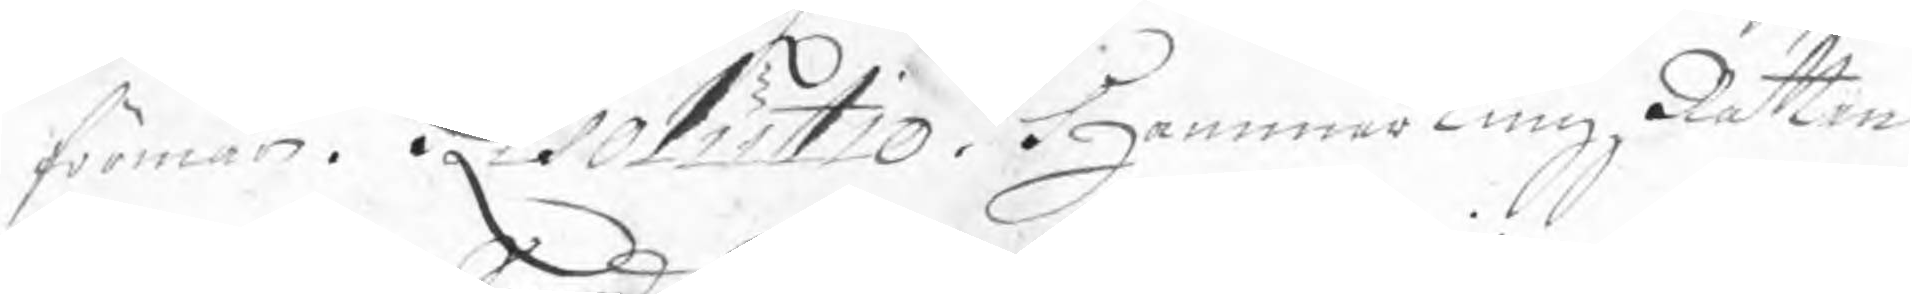förmår. Resolutio. HammartingzRätten
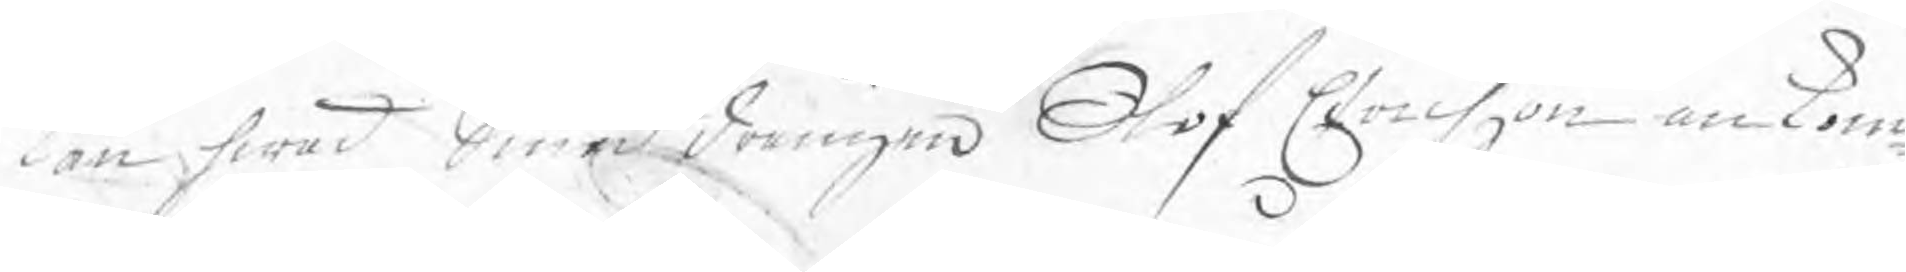kan hwad Smeddrängen Olof Erichzon ankom¬
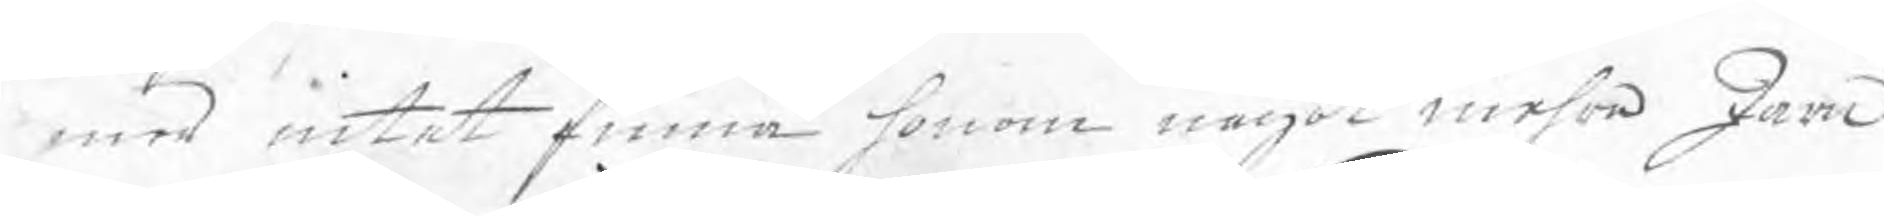mer intet finna honom något mehra Järn
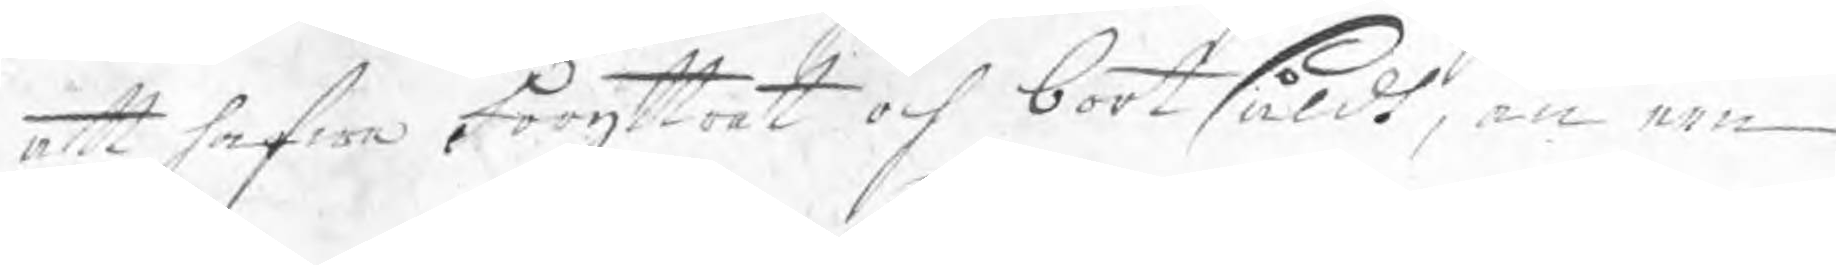att hafwa Föryttrat och bortsåldt, än een
